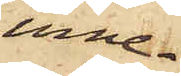inne¬
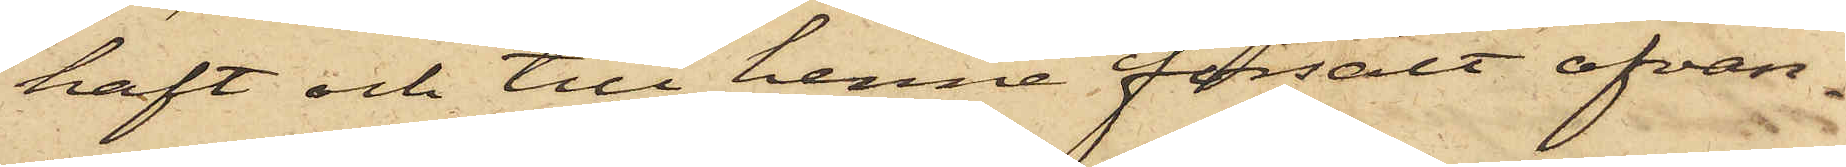haft och till henne försålt ofvan¬
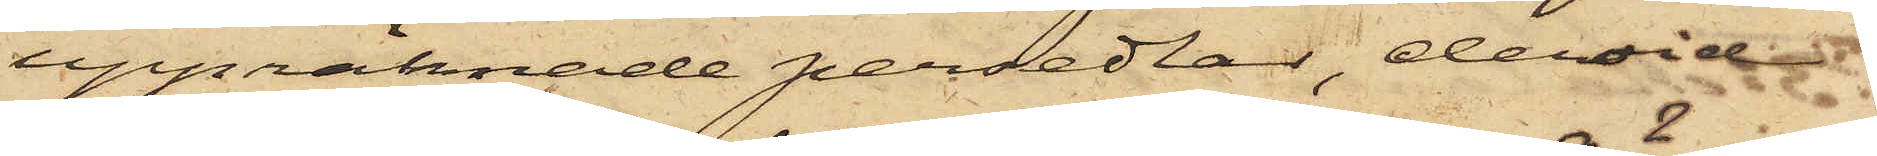uppräknade persedlar, dervid
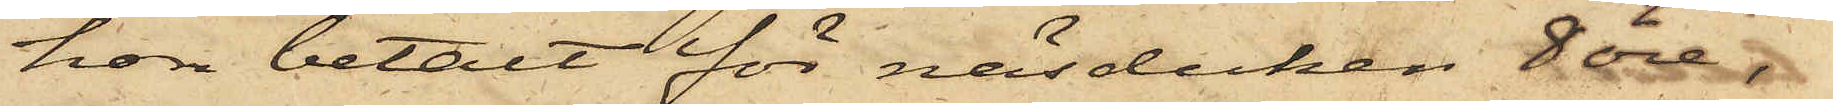hon betalt för näsduken 8 öre,
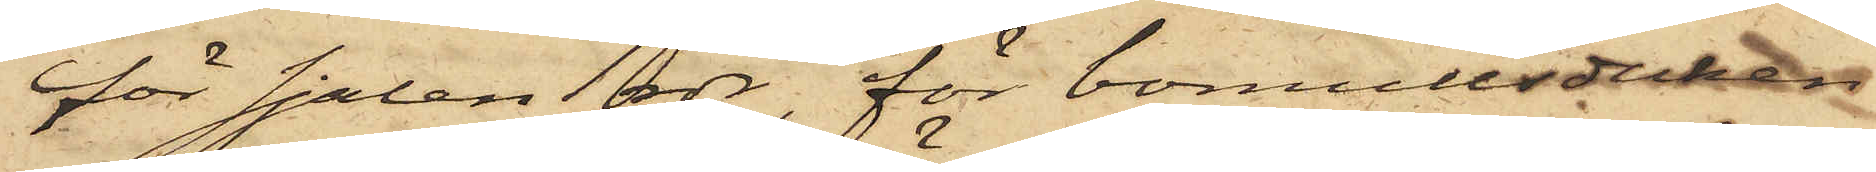för sjalen 1 rdr, för bomullsduken
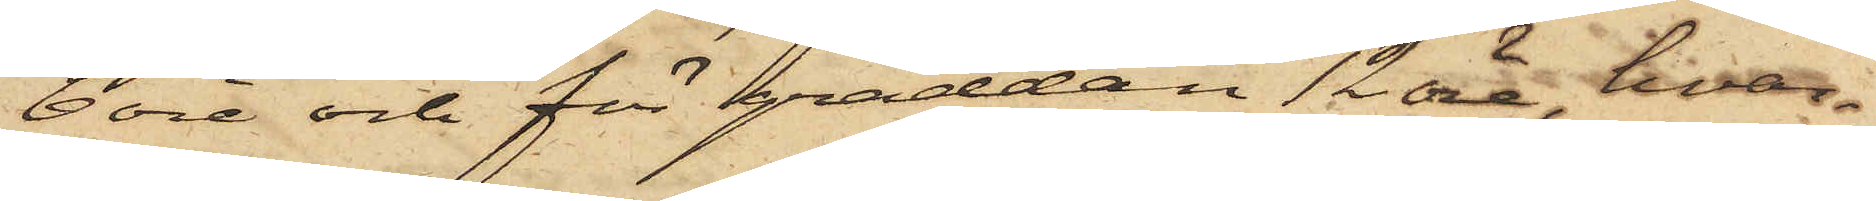6 öre och för gräddan 12 öre, hvar¬
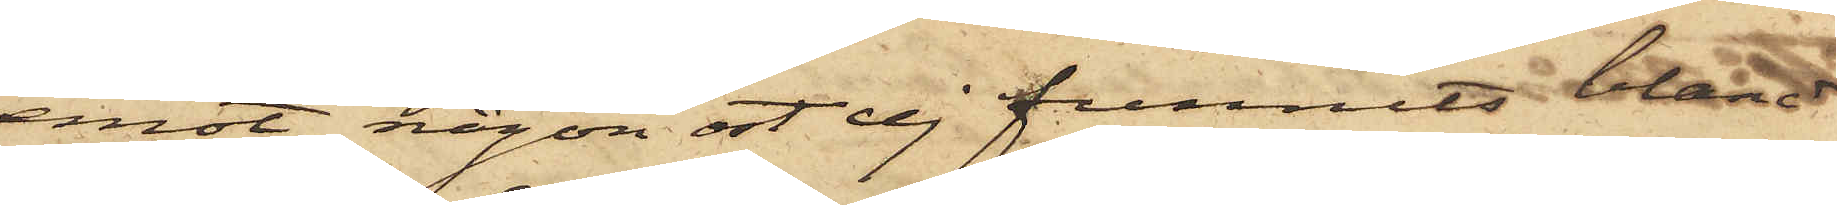emot någon ost ej funnits bland
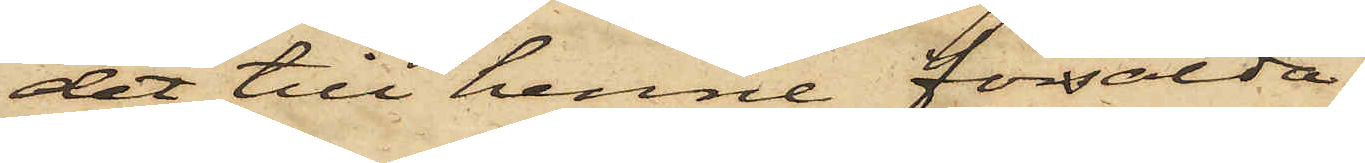det till henne försålda.
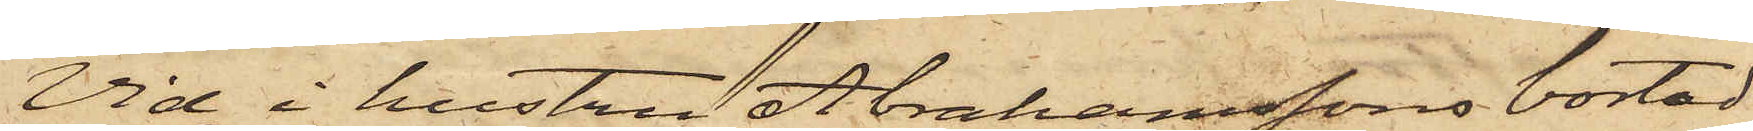Vid i hustru Arahamssons bostad
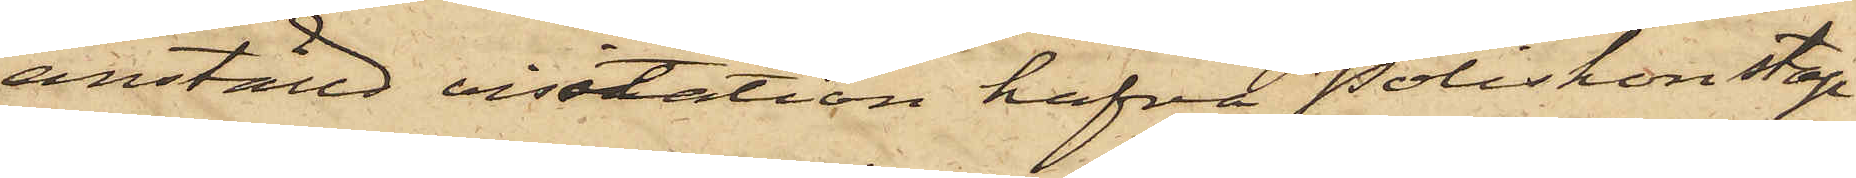anställd visitation hafva Poliskonstap¬
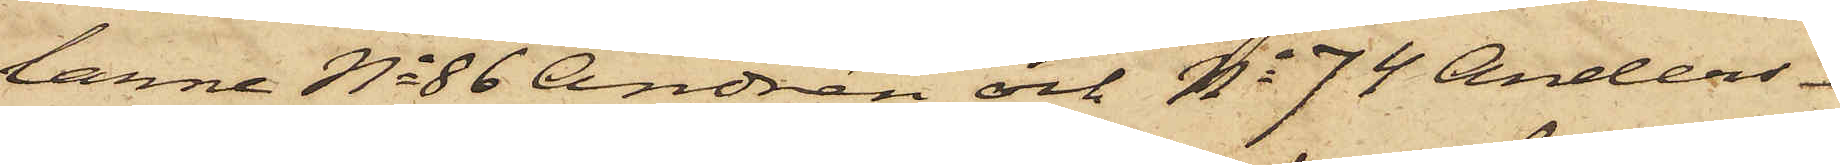larne No 86 Andrén och No 74 Anders¬
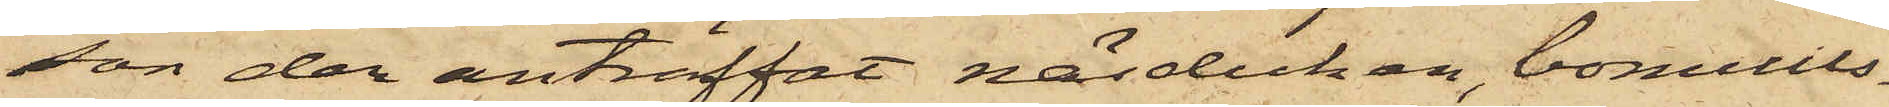son der anträffat näsduken, bomulls¬
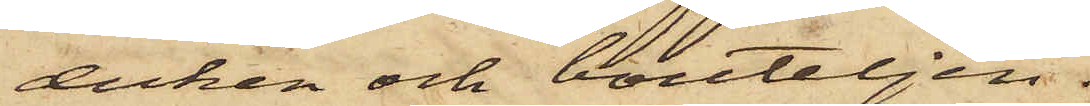duken och bouteljen.
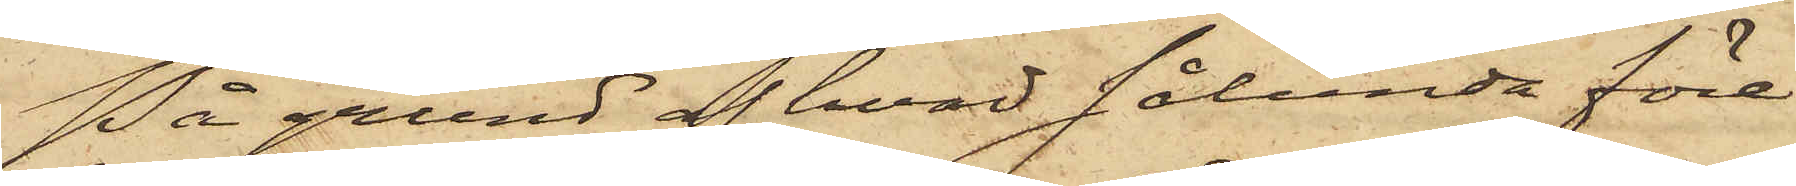På grund af hvad sålunda före¬
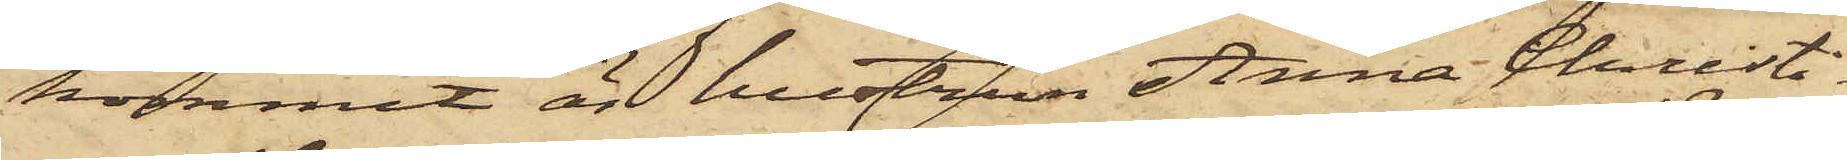kommit är hustrun Anna Christi¬
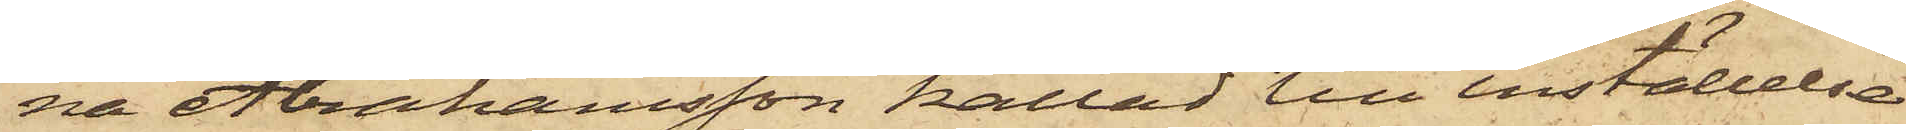na Abrahamsson kallad till inställelse
